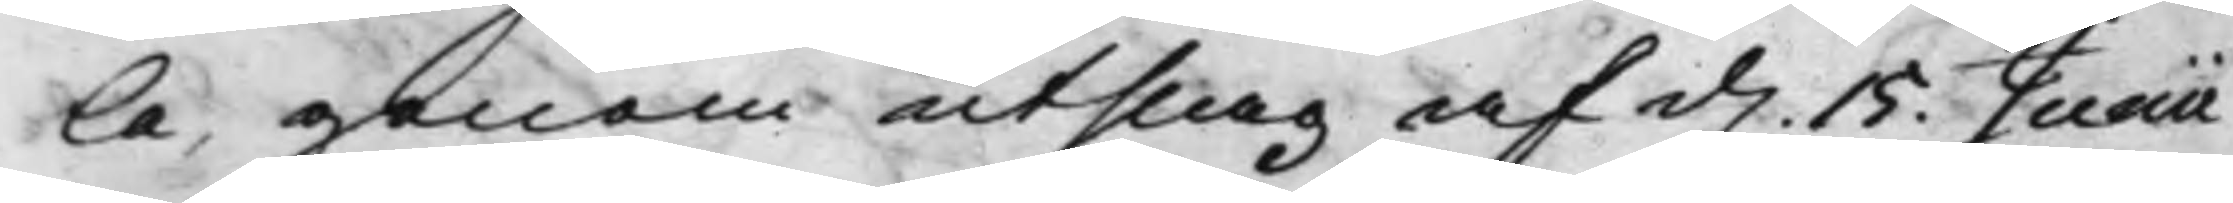la, genom utslag af d. 15. Junii
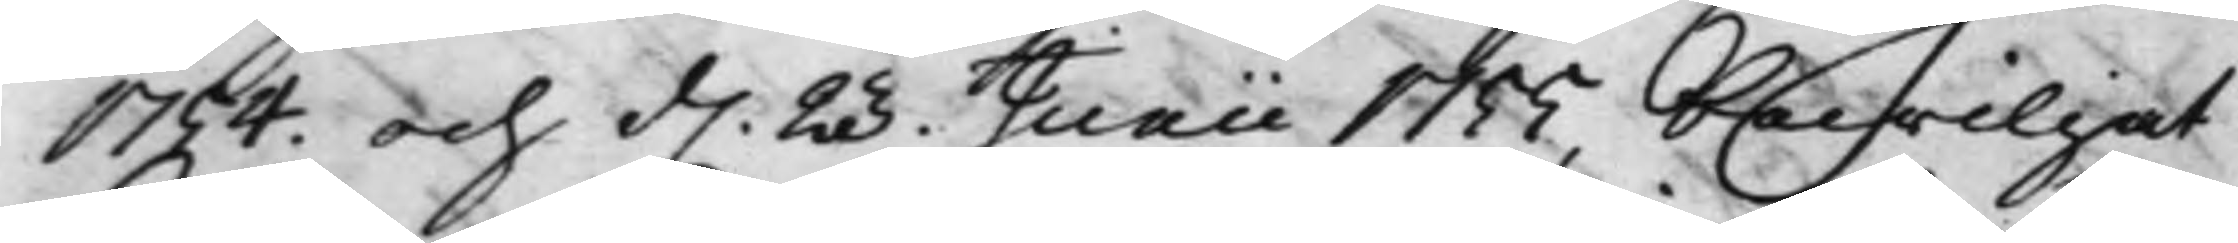1754. och d. 23. Junii 1755, bewiljat
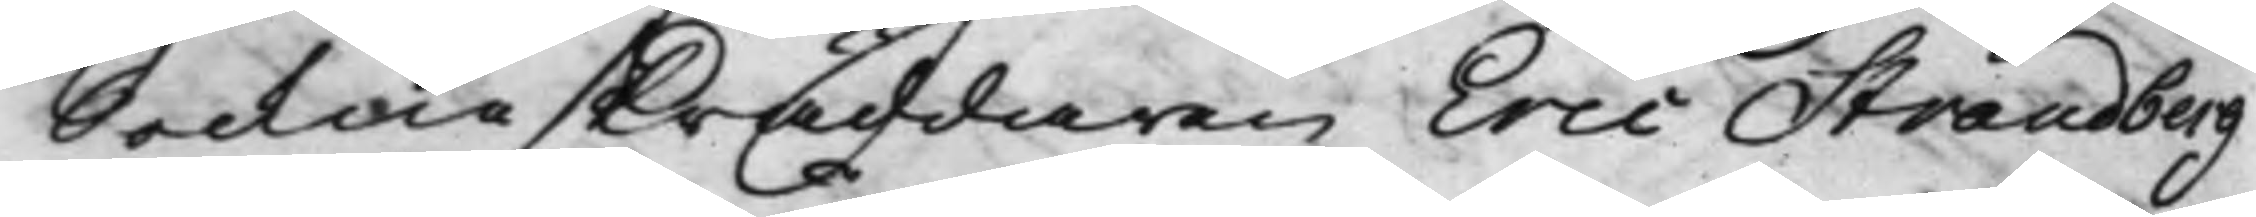Sockneskräddaren Eric Strandberg
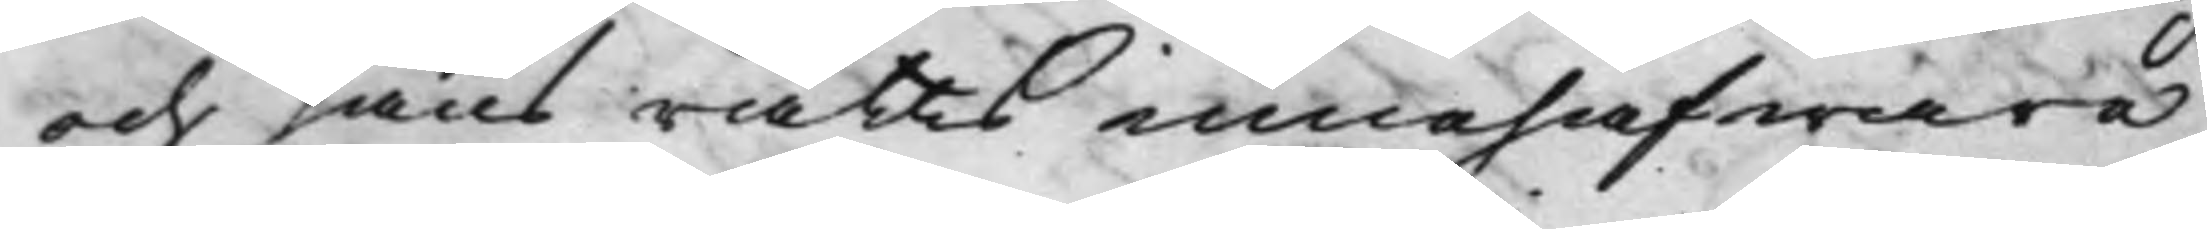och hans rätts innehafware
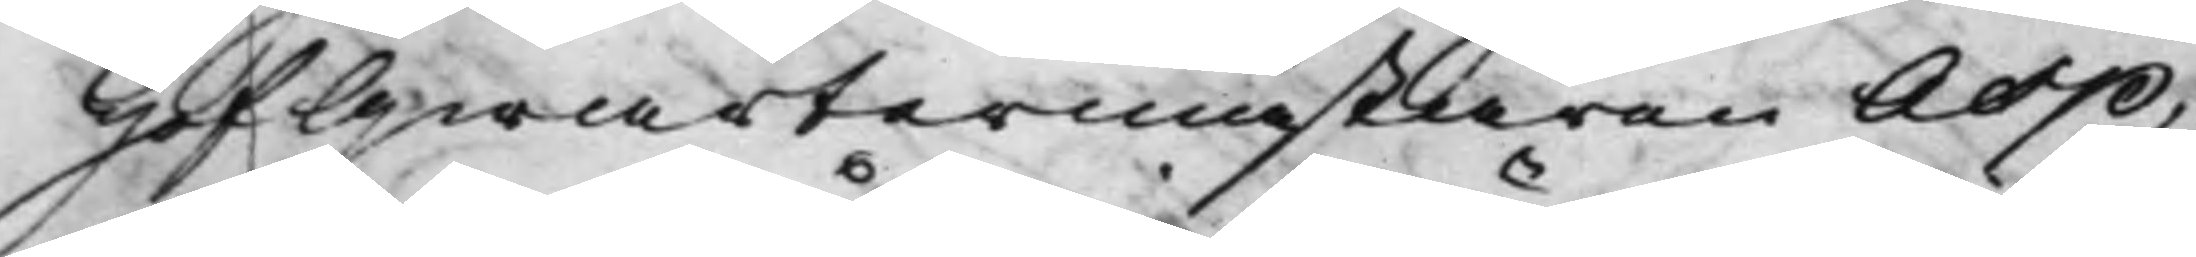HofQwartermästaren Asp,
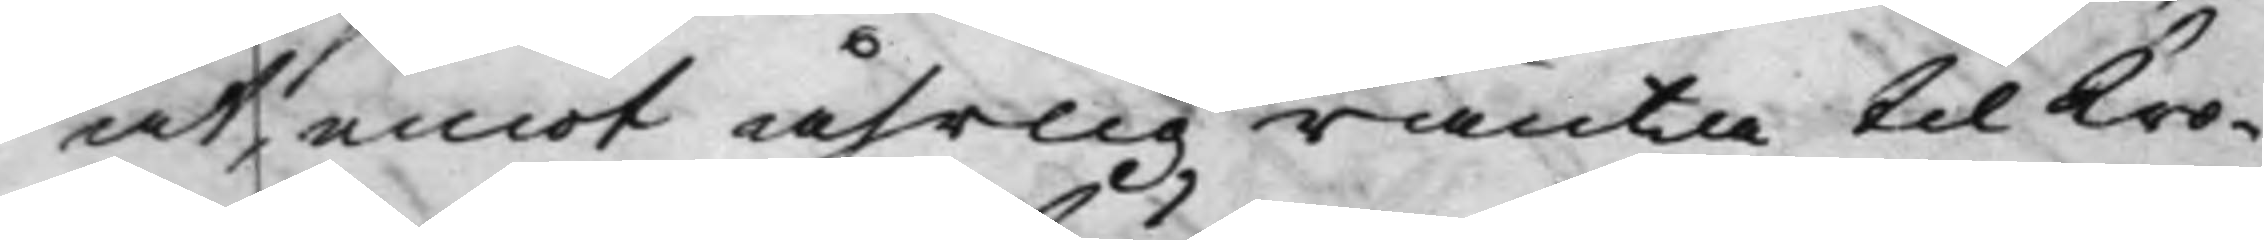at, emot åhrlig ränta til Kro¬
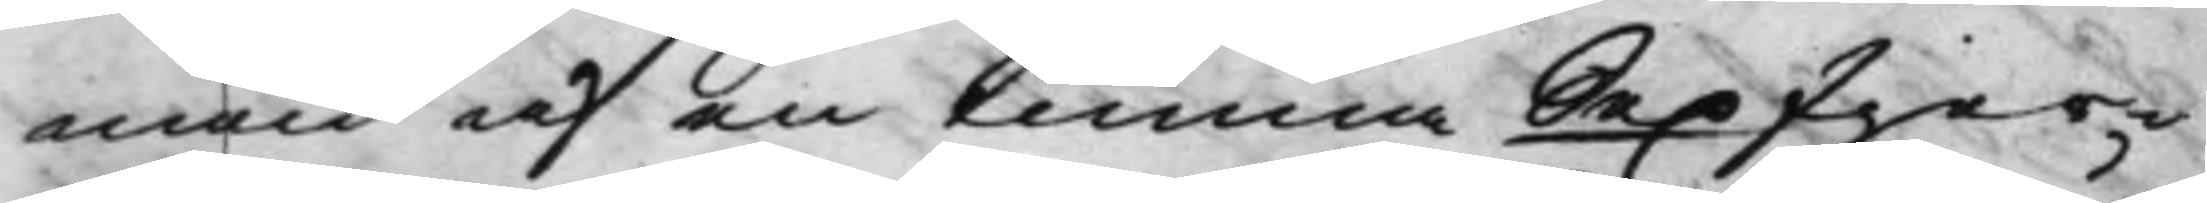nan af en tunna Sex fjer¬
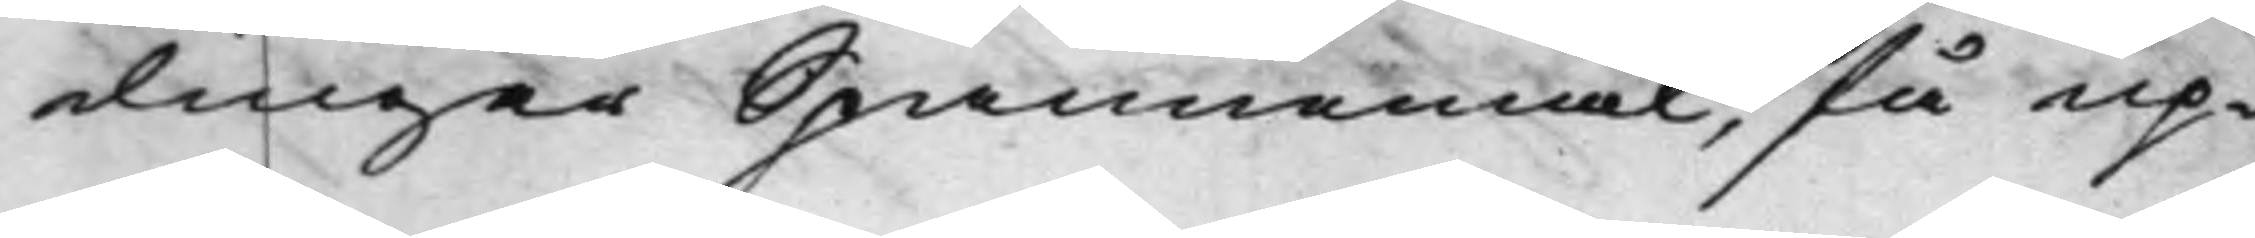dingar Spannemål, få up¬
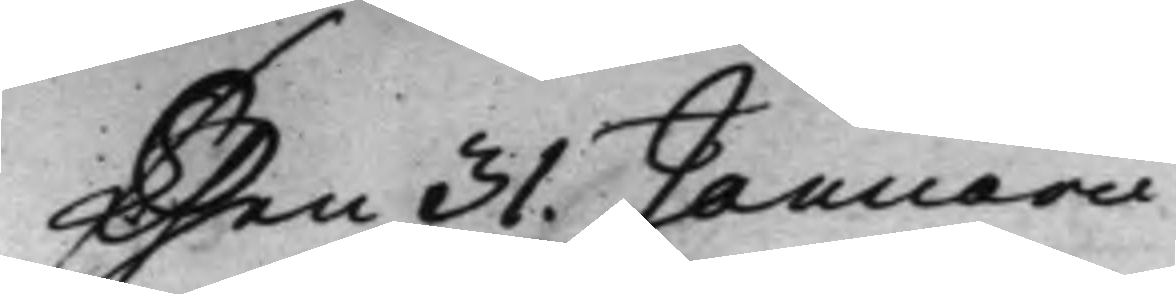Then 31. Januarii
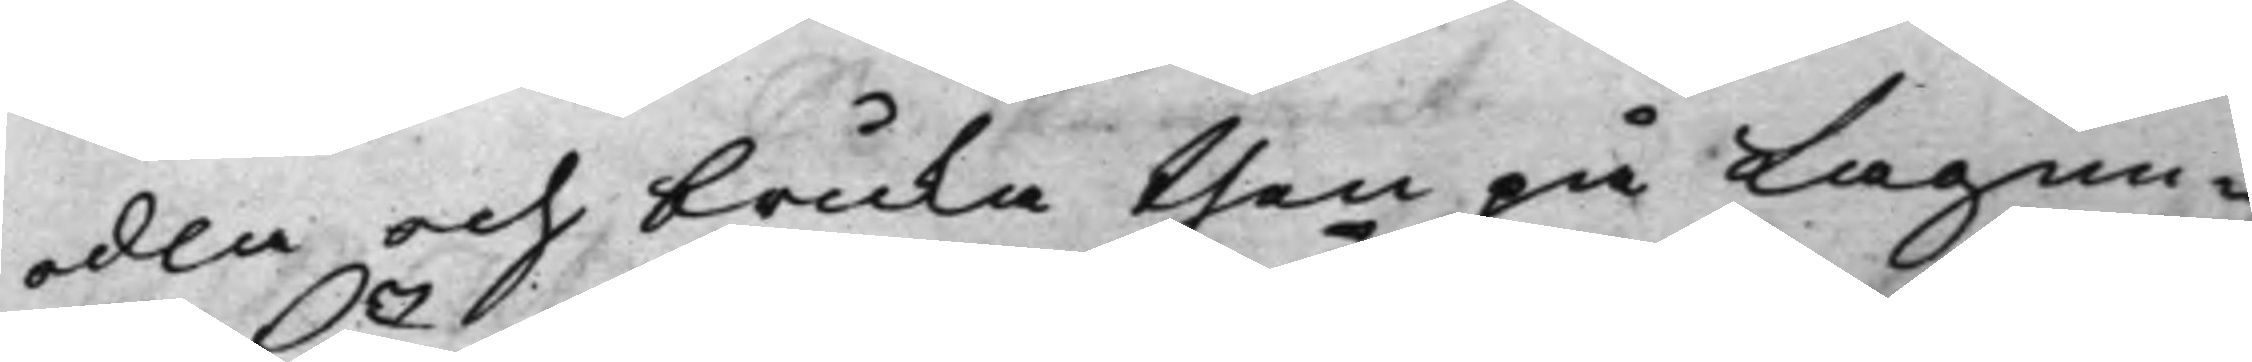odla och bruka then på Lagun¬
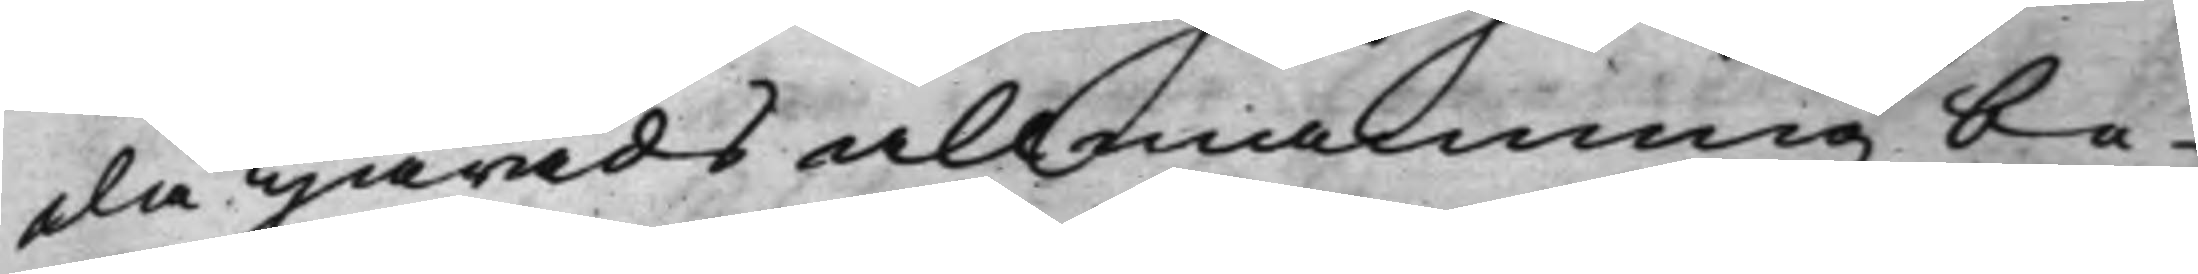da Härads allmänning be¬
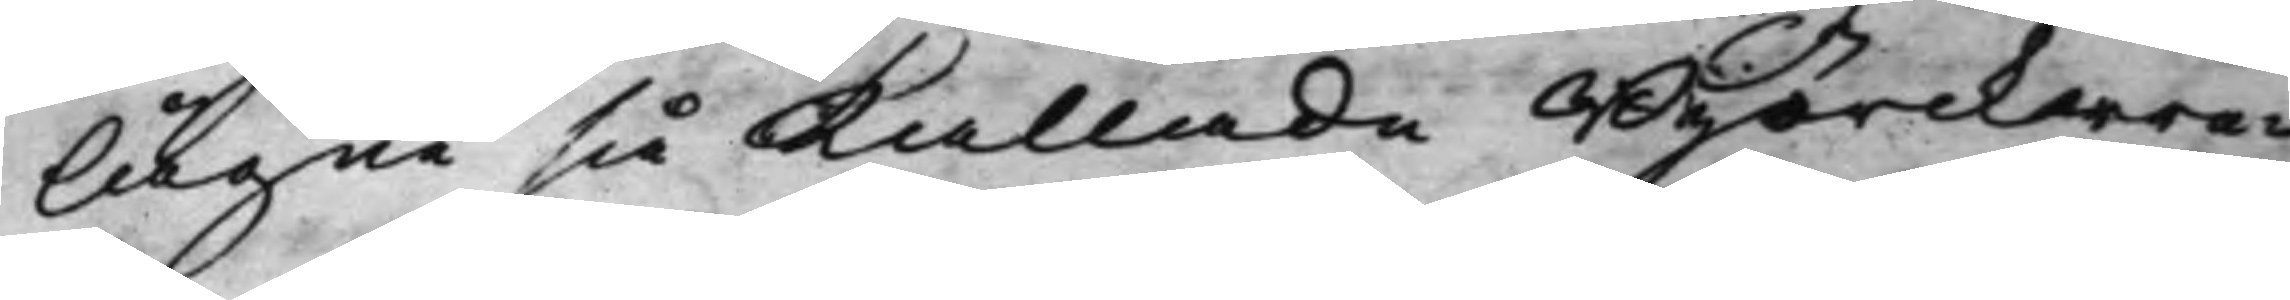lägne si kallade Björckwre¬
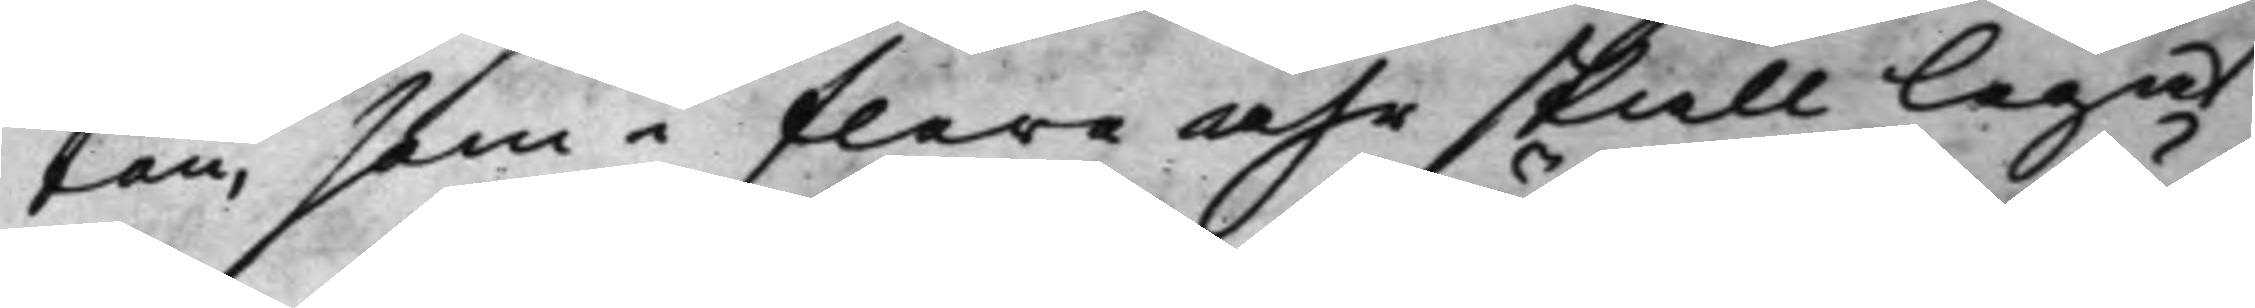ten, som i flere åhr skall legat
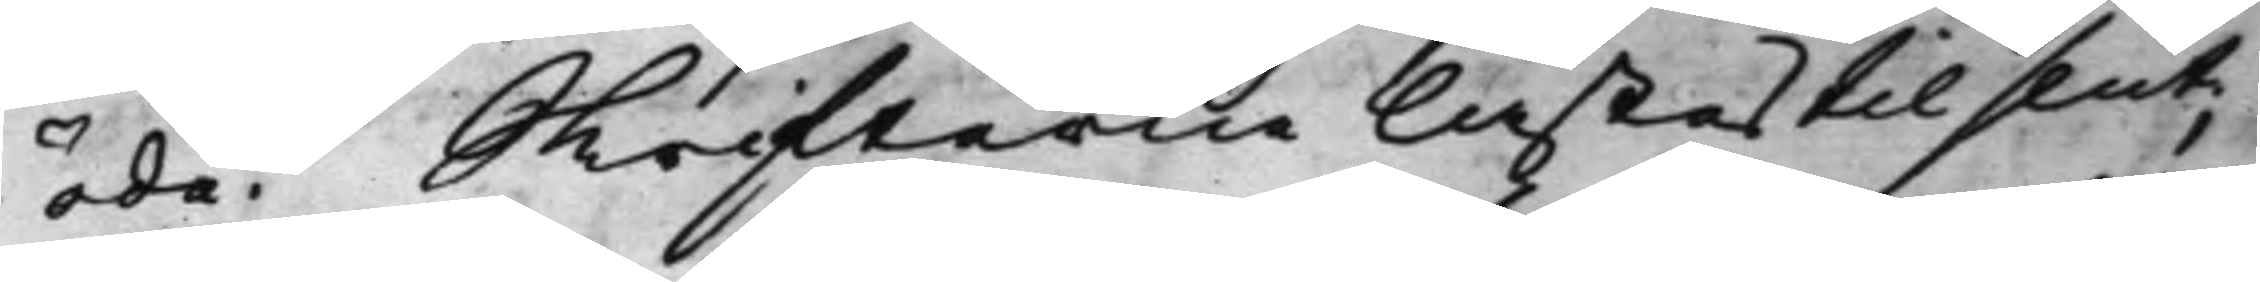öde. Skrifterne lästes til slut;
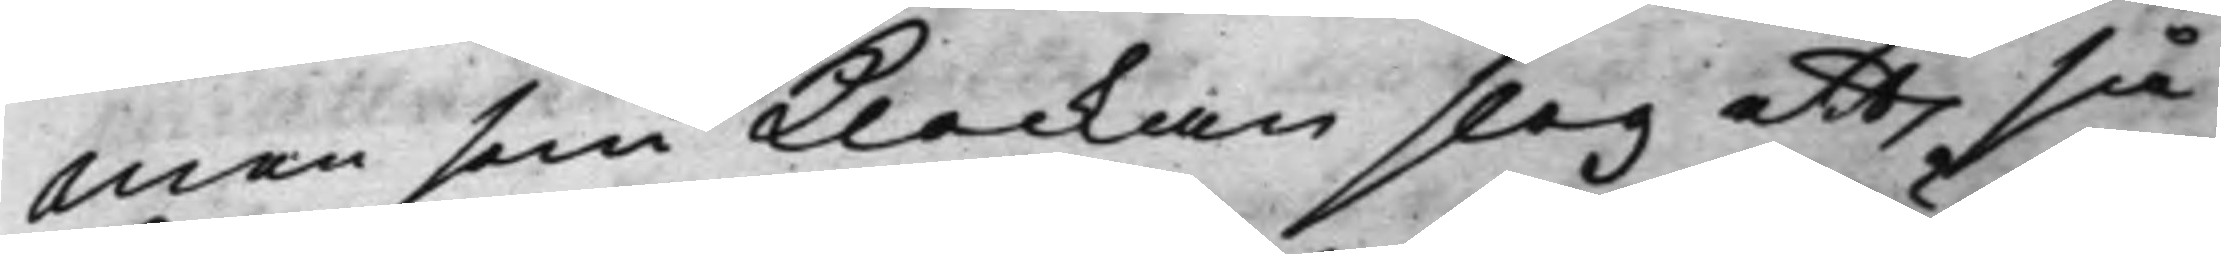Men som Klockan slog ett så
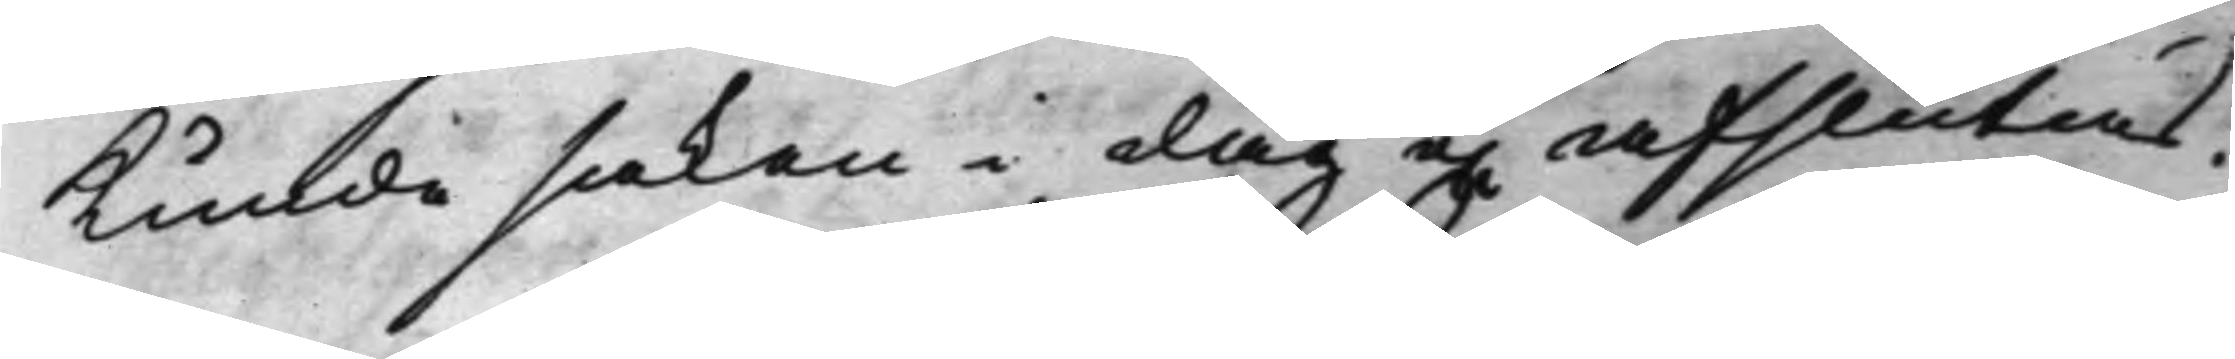Kunde saken i dag ej afslutas.
